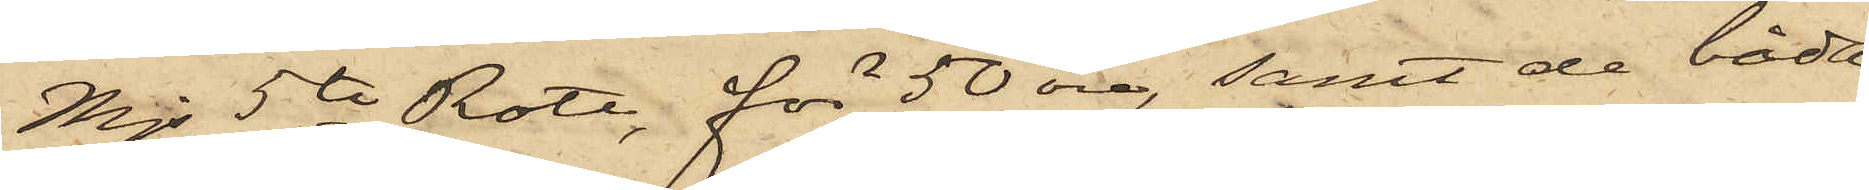Mjs 5te Rote, för 50 öre, samt de båda
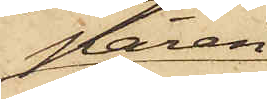paren
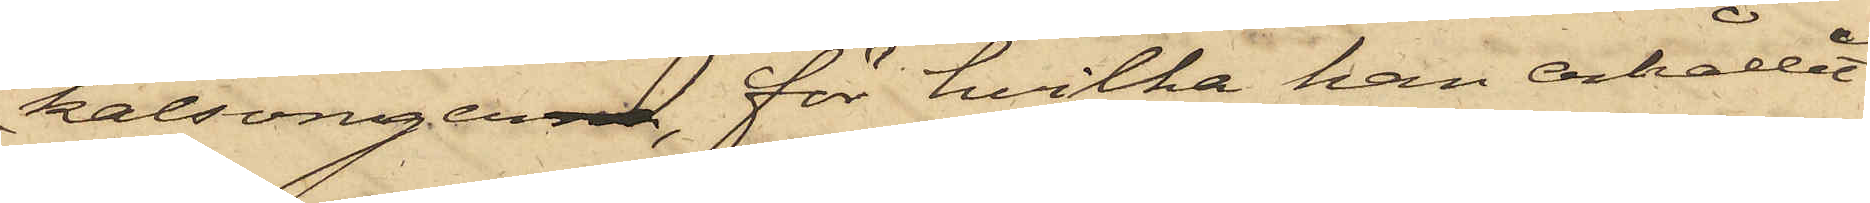kalsonger, för hvilka han erhållit
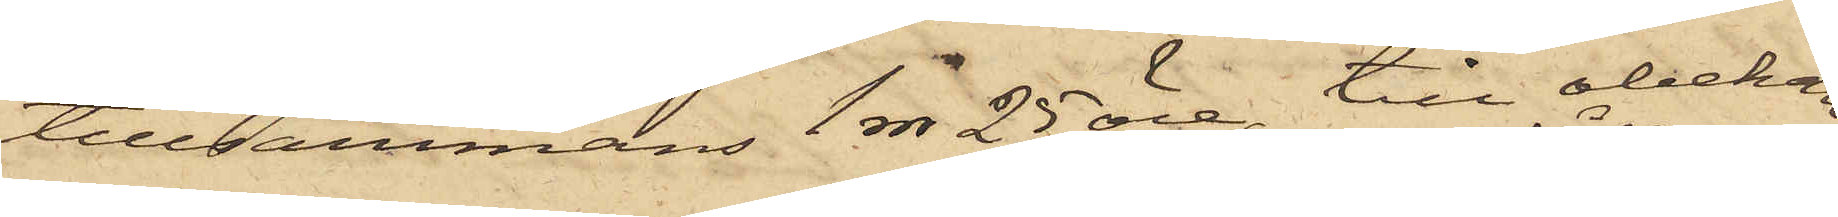tillsammans 1 rdr 25 öre, till obekan¬
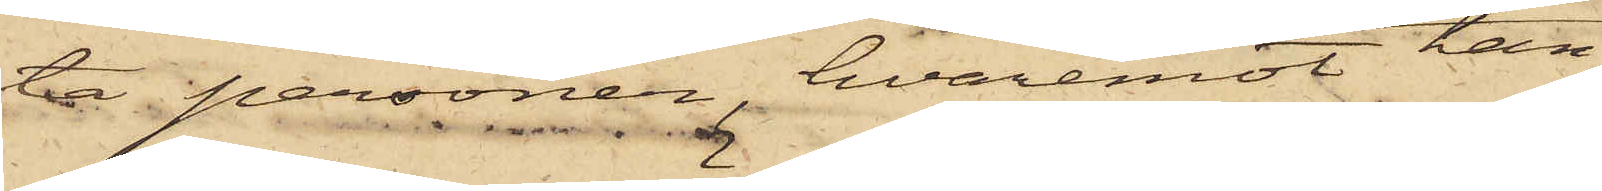ta personer, hvaremot han
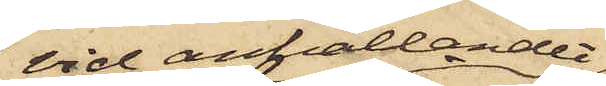vid anhållandet
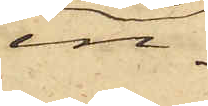in¬
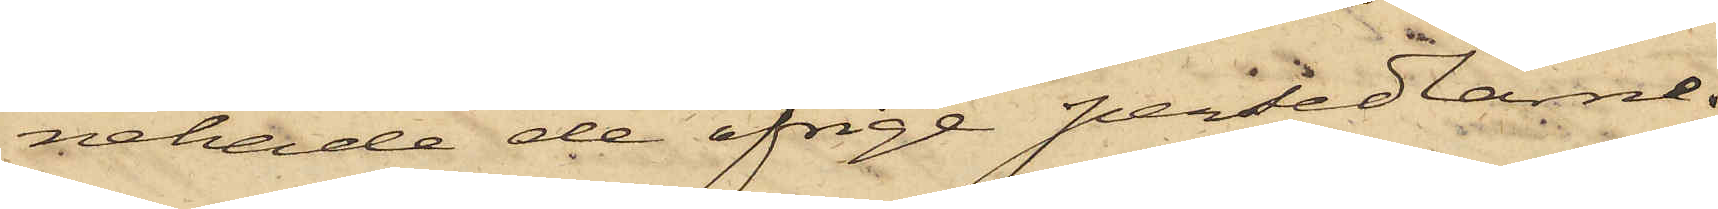nehade de öfrige persedlarne.
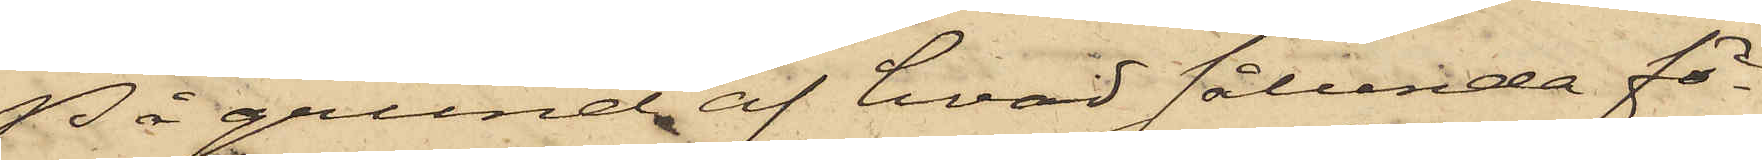På grund af hvad sålunda för¬
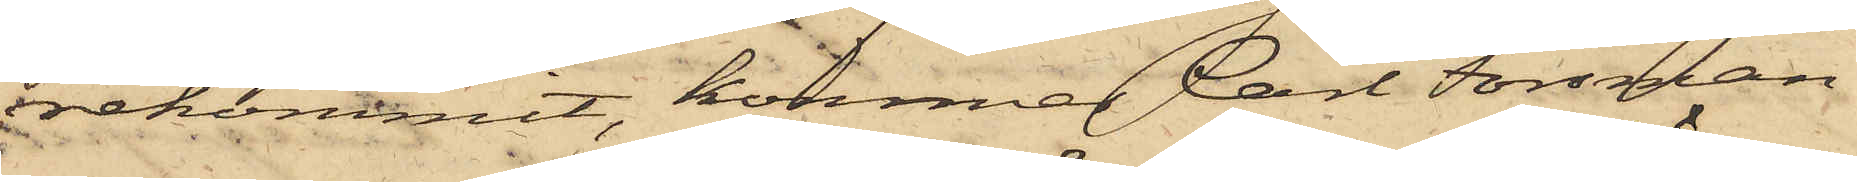rekommit, kommer Carl Forsman
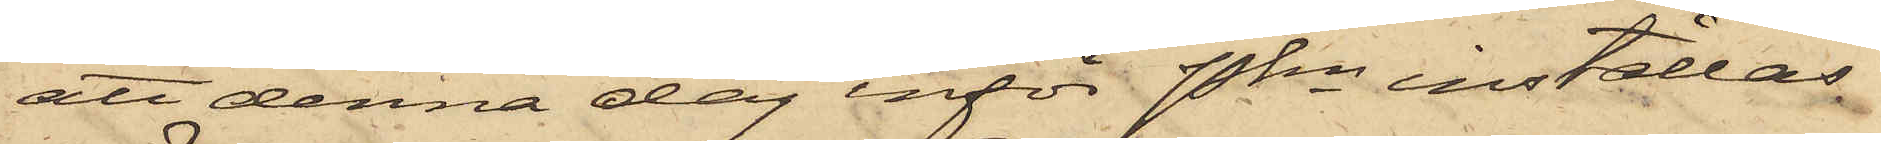att denna dag inför Pkn inställas.
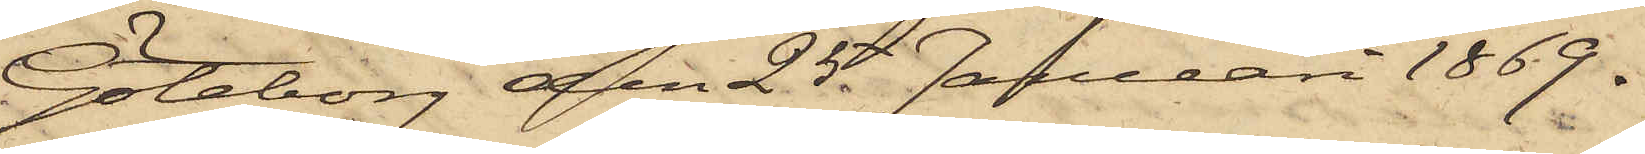Göteborg den 25. Januari 1869.
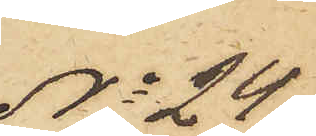No 24
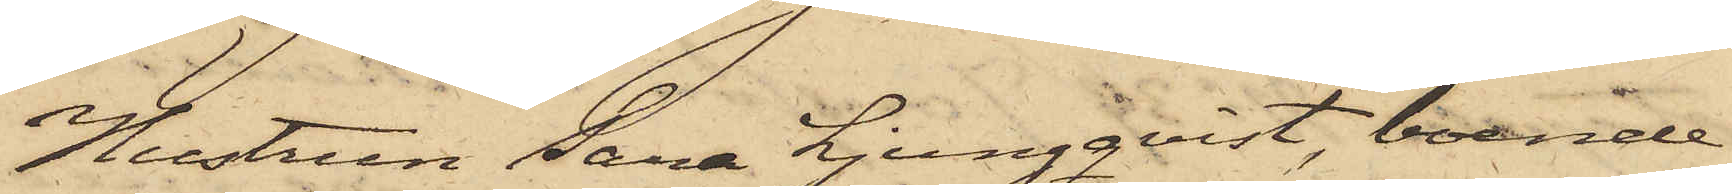Hustrun Sara Ljungqvist, boende
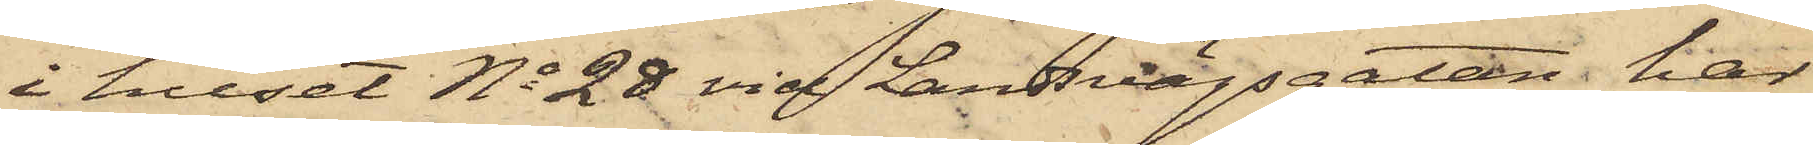i huset No 28 vid Landsvägsgatan, har
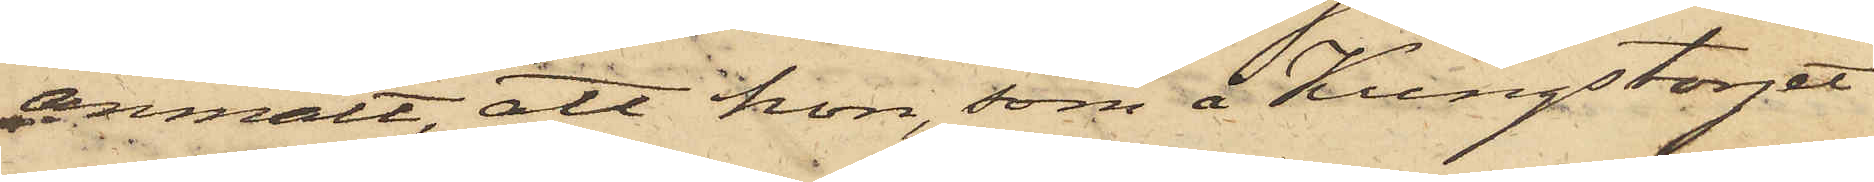anmält, att hon, som å Kungstorget
